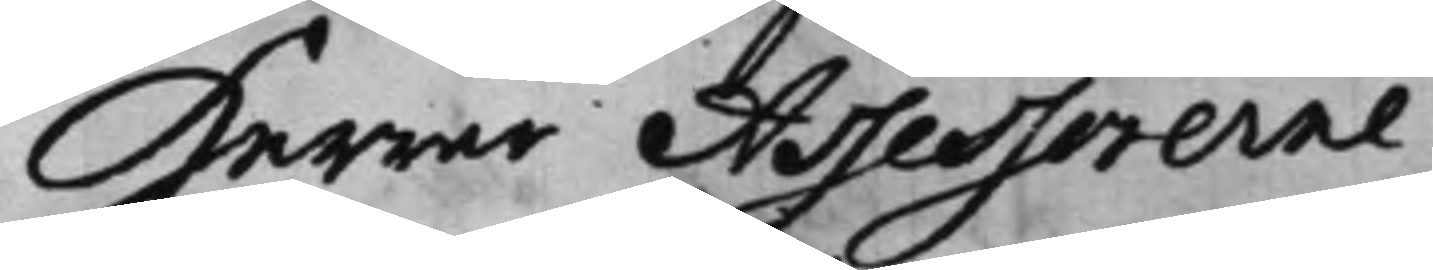Herrar Assessorerne
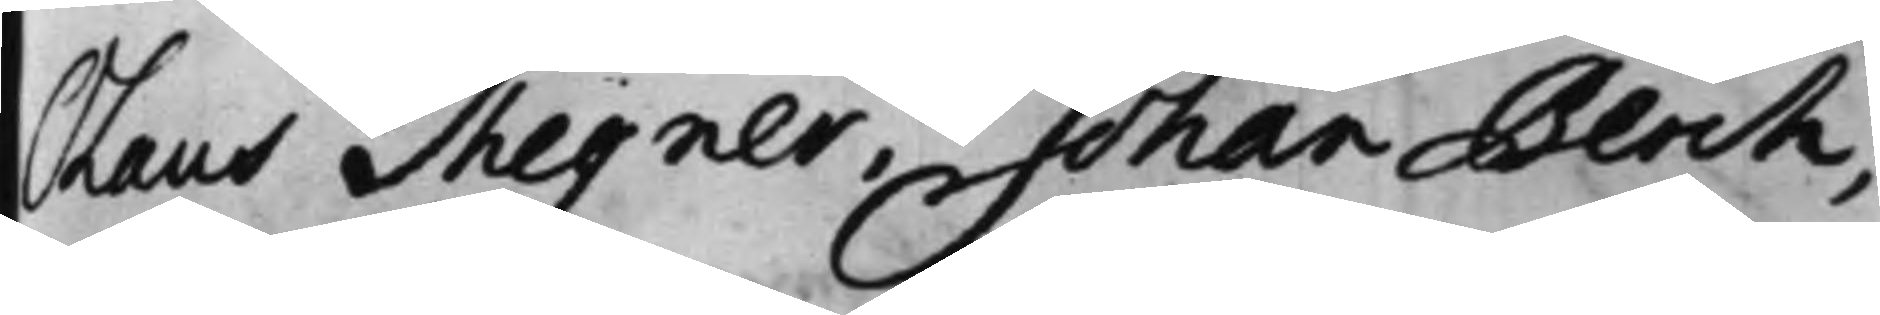Olaus Thegner, Johan Berch,
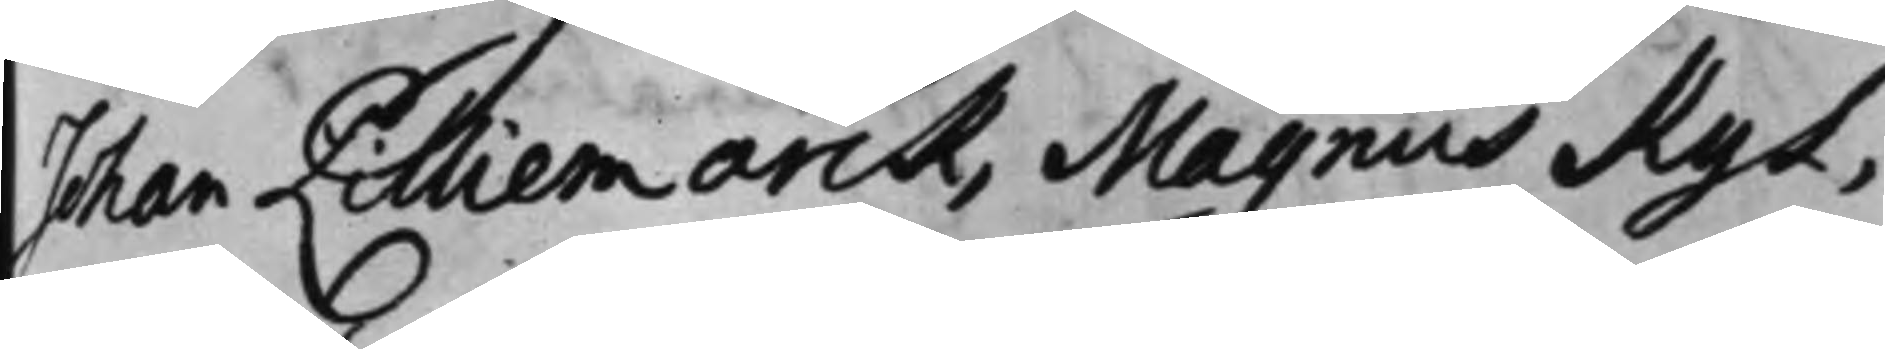Johan Lilliemarck, Magnus Kyl,
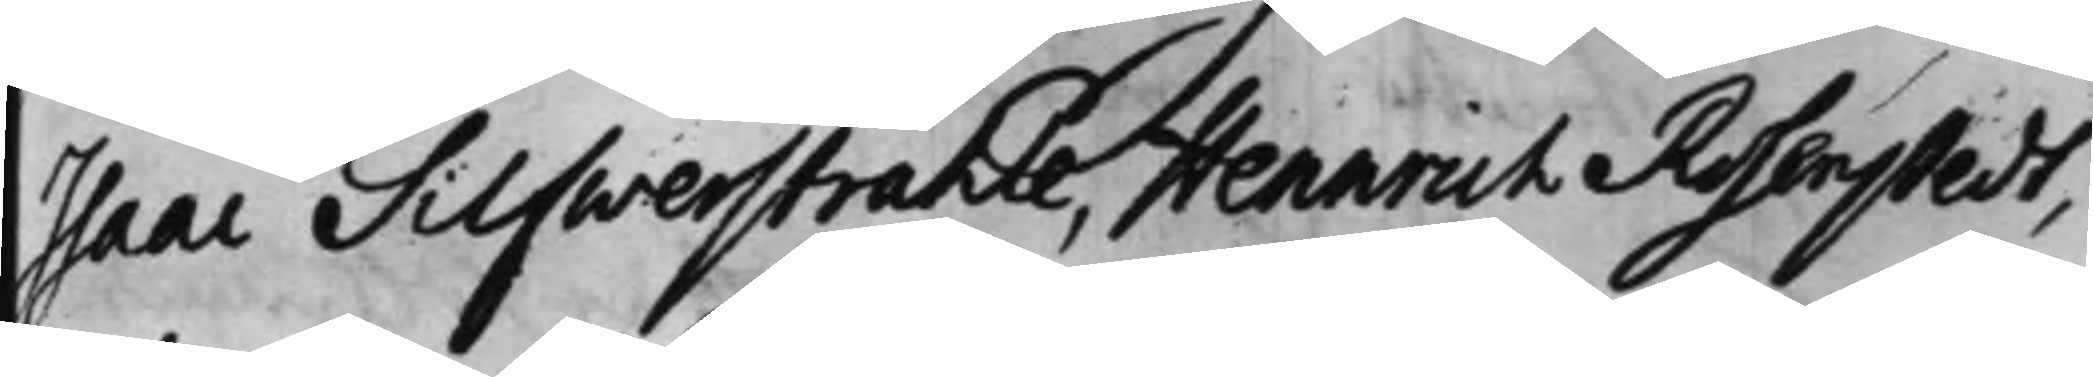Isaac Silfwerstråhle, Henrich Rosenstedt,
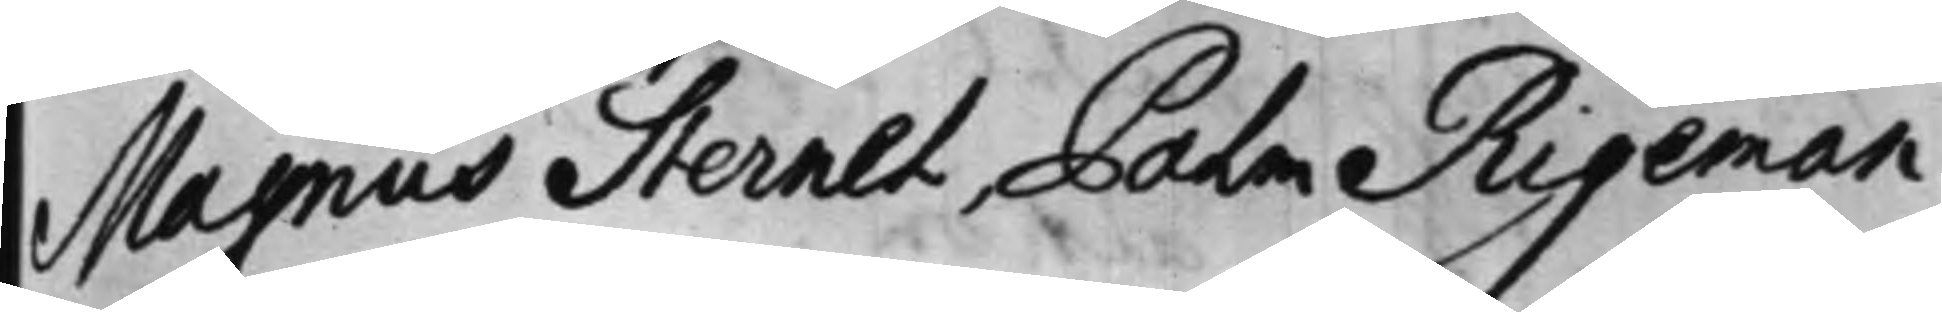Magnus Sternel, Palm Rigeman.
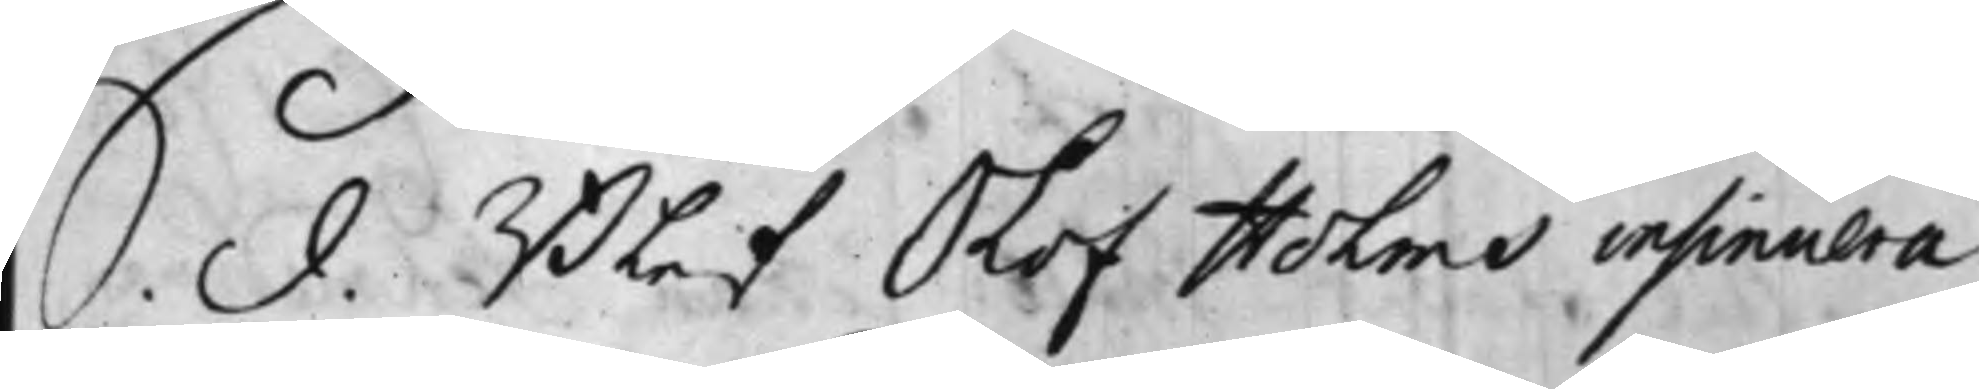S. d. Blef Olof Holms insinuera¬
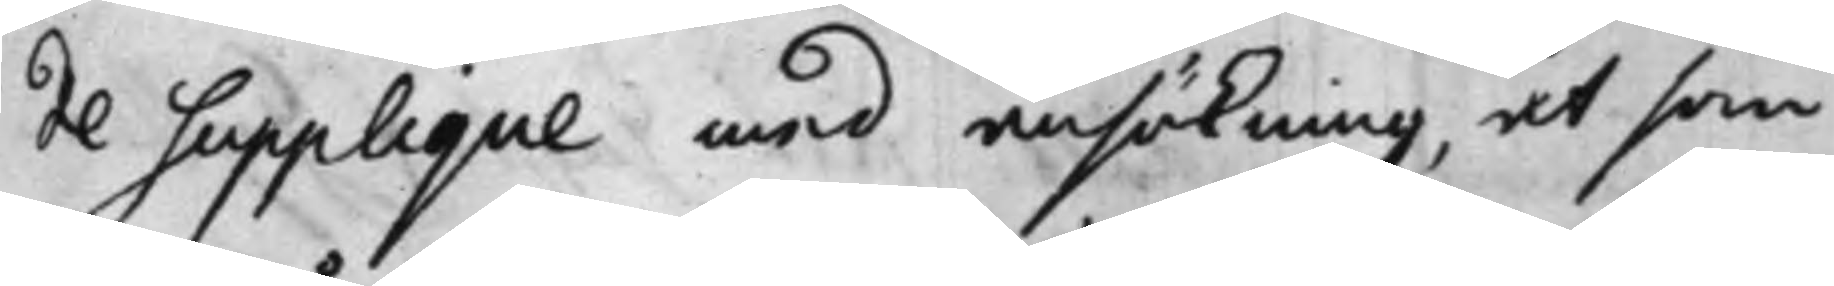de Supplique med ansökning, at som
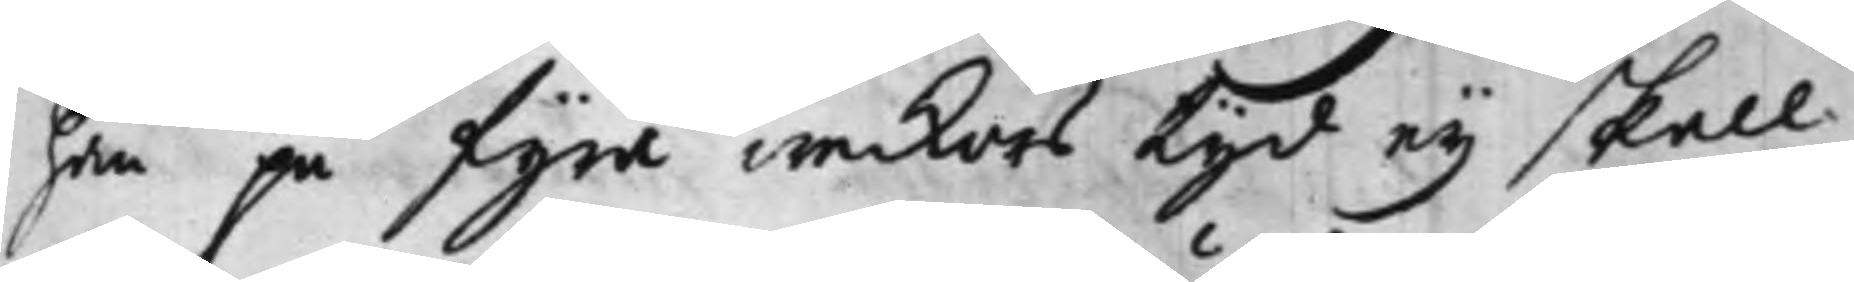han på fyra weckors tyd eij skall
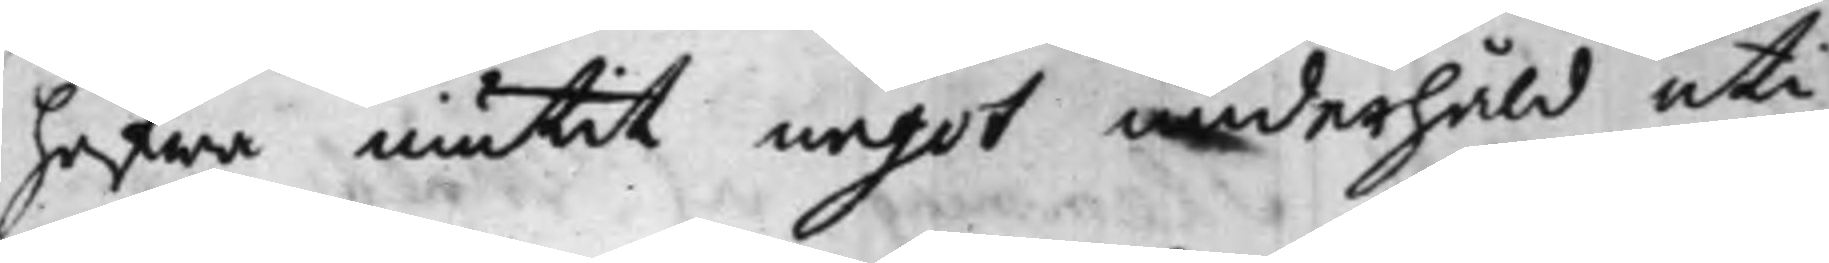hafwa niutit något underhåld uti
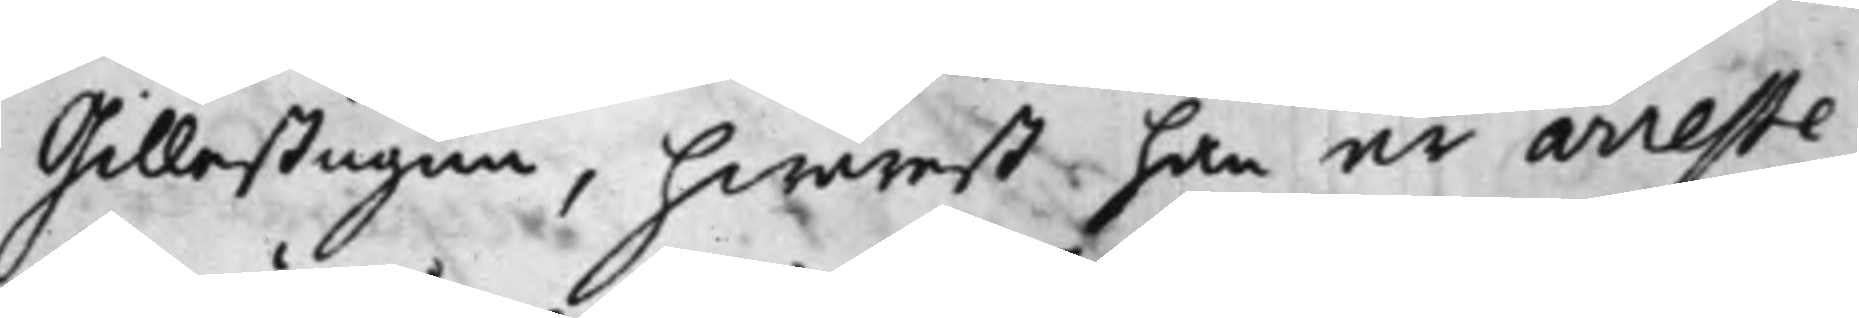Gillestugun, hwarest han är arreste¬
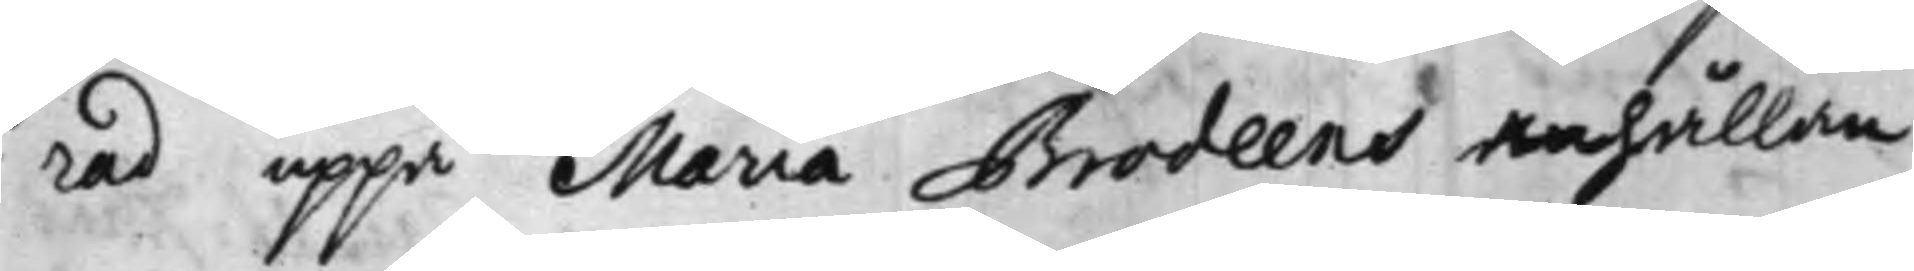rad uppå Maria Brodeens anhållan,
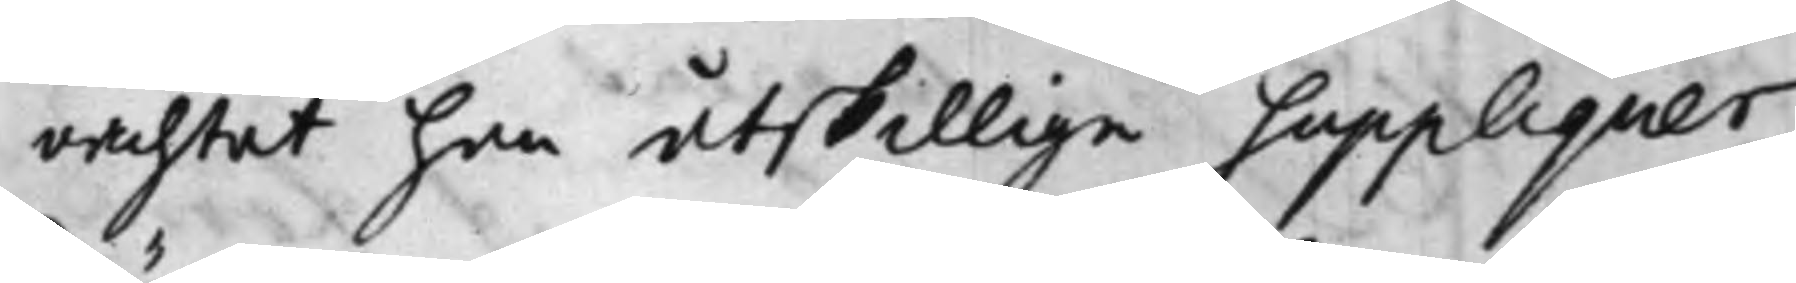oachtat han åtskillige Suppliquer
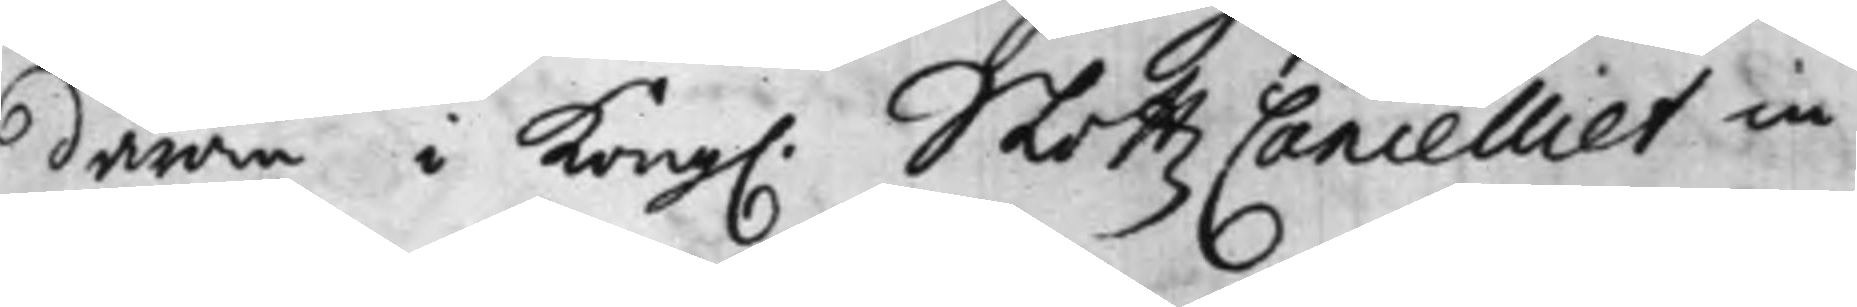därom i Kong. Slottz Cancelliet in¬
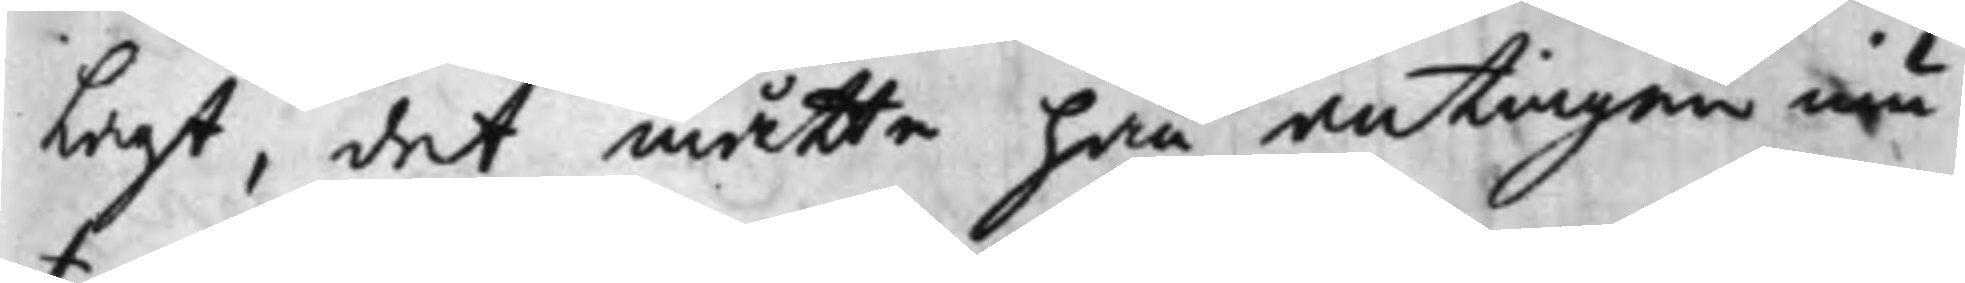Lagt, det måtte han antingen niu¬
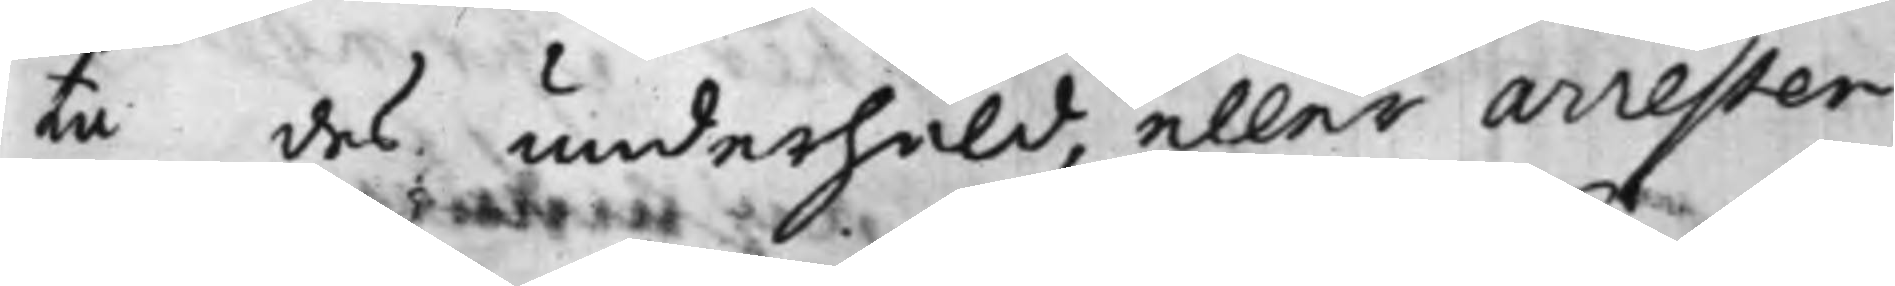ta des underhåld, eller arresten
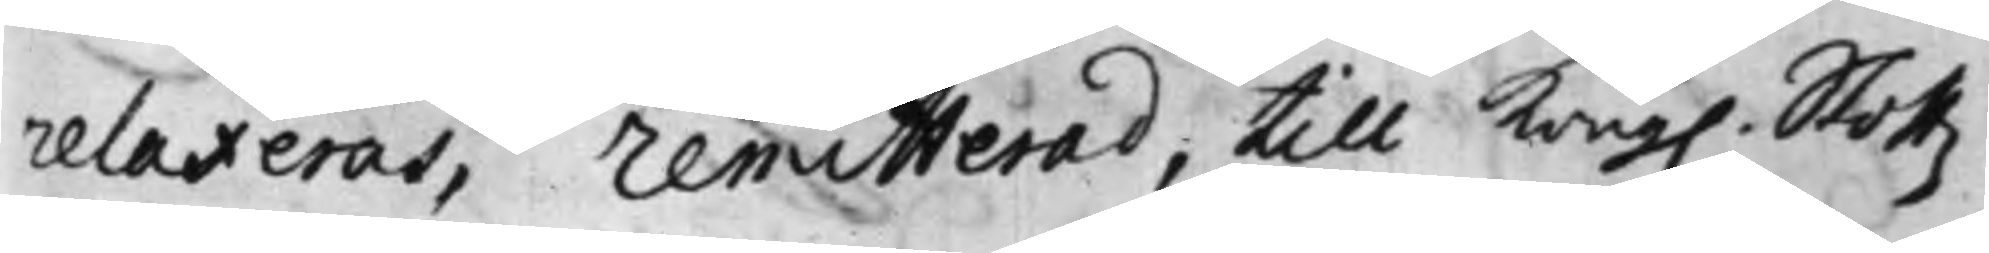relaxeras, Remitterad, till Kong. Slottz¬
